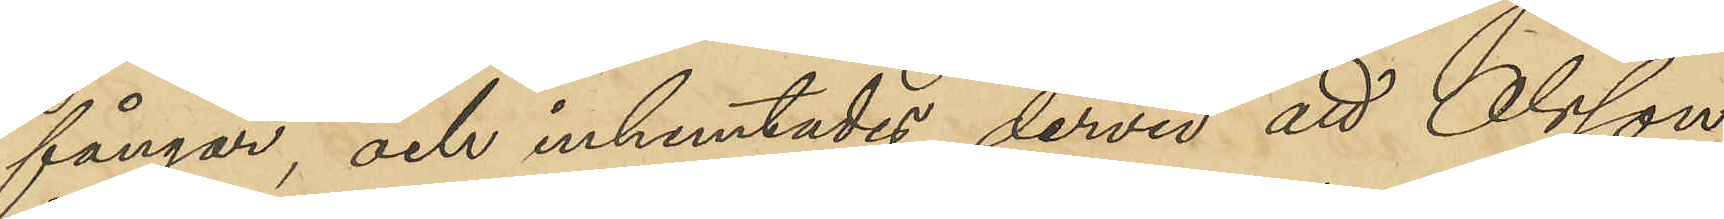fångar, och inhemtades dervid att Olsson
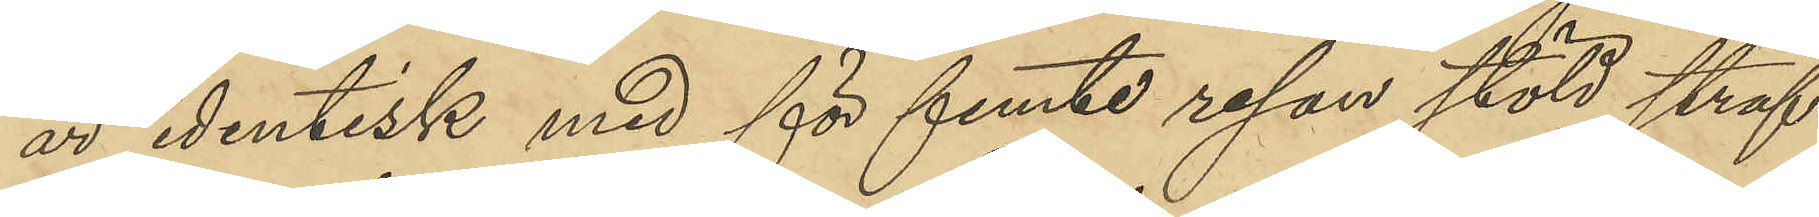är identisk med för femte resan stöld straf¬
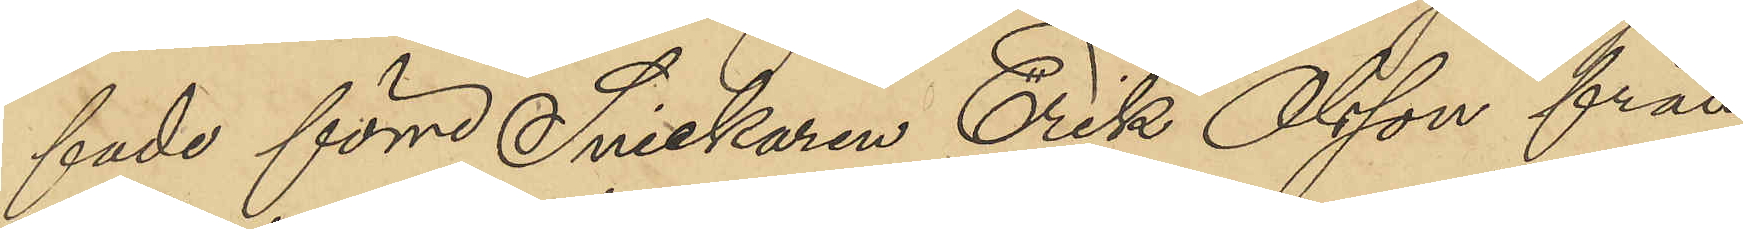fade förre Snickaren Erik Olsson från
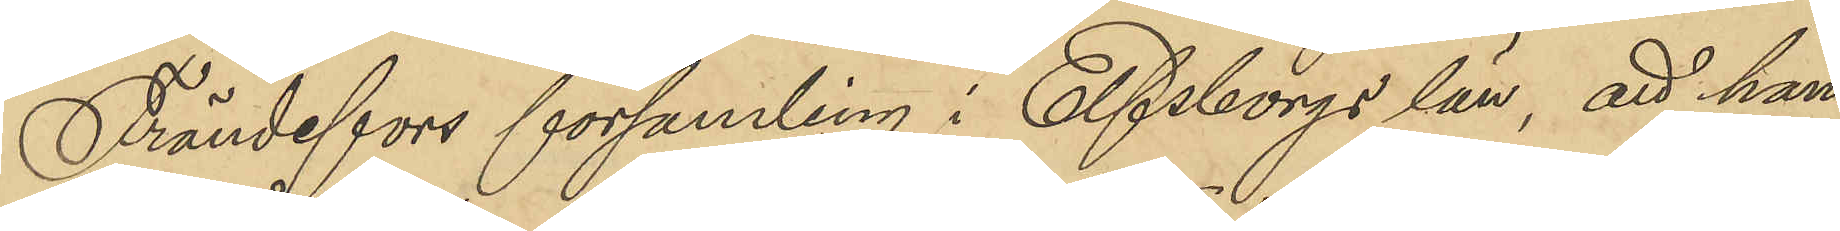Frändefors församling i Elfsborgs län, att han
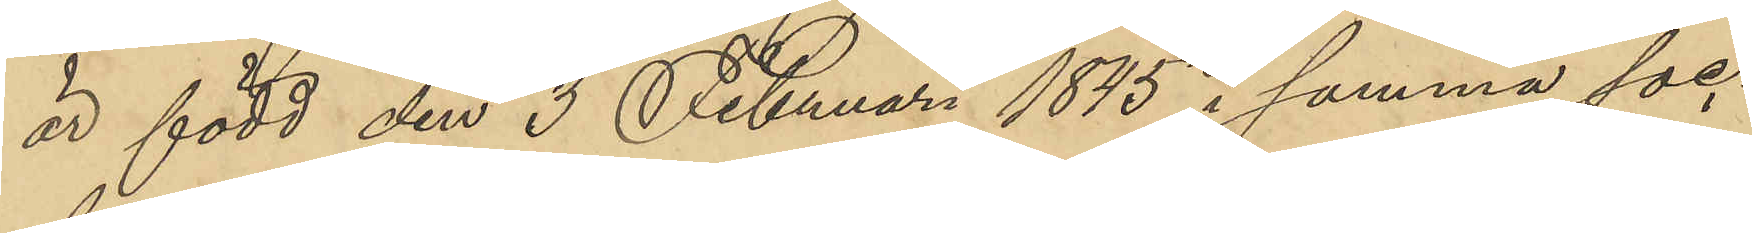är född den 3 Februari 1845 i samma soc¬
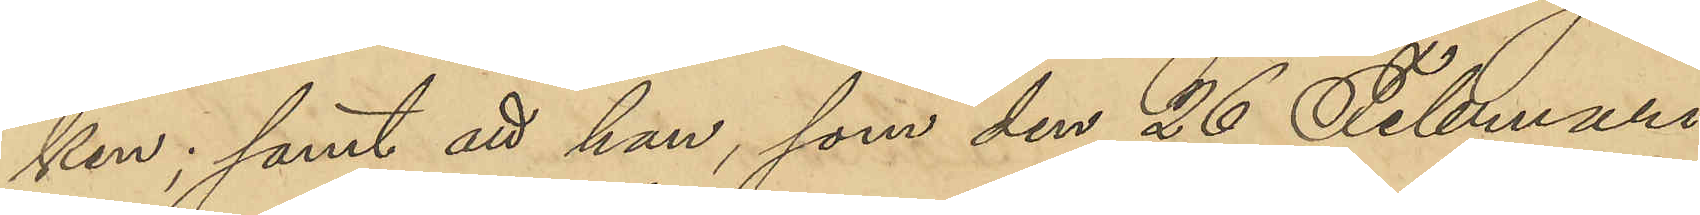ken; samt att han, som den 26 Februari
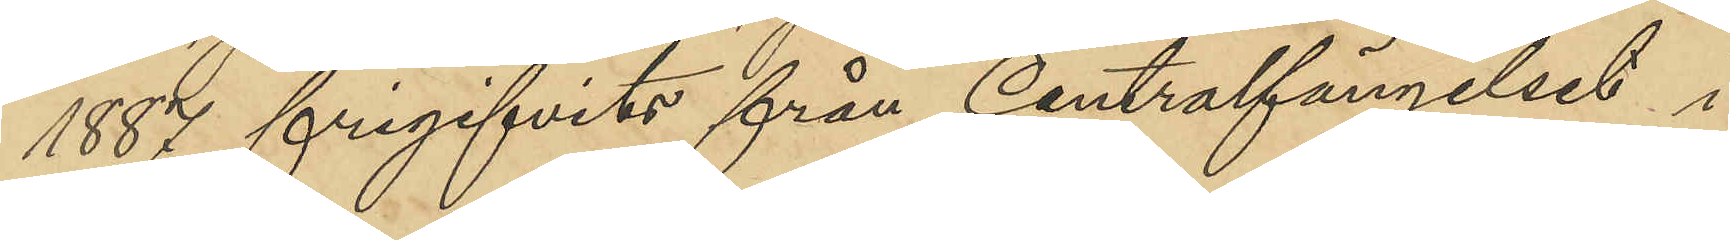1887 frigifvits från Centralfängelset i
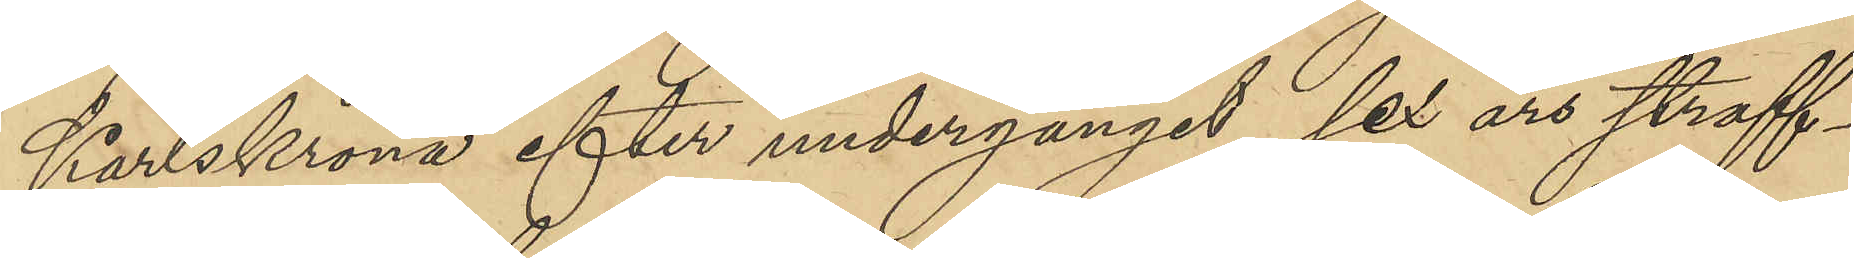Karlskrona efter undergånget sex års straff¬
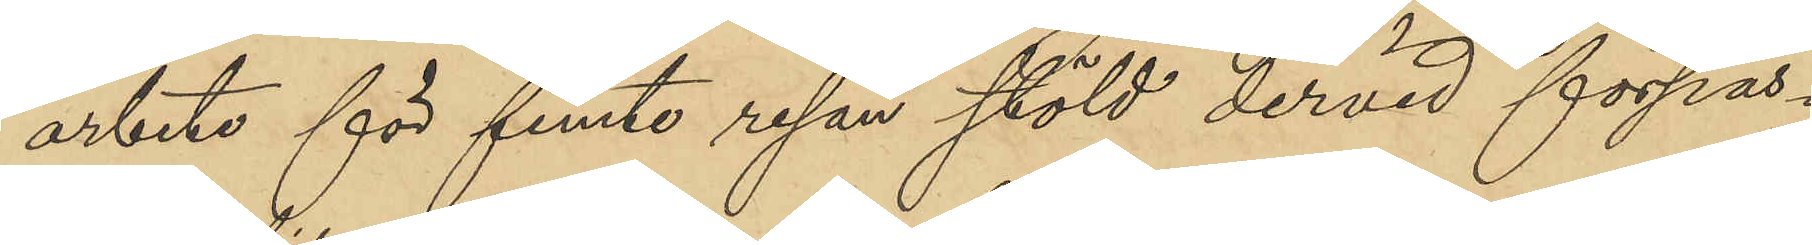arbete för femte resan stöld dervid förpas¬
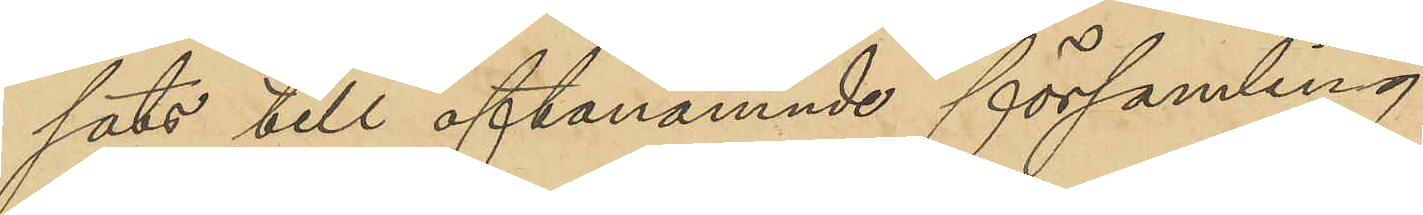sats till oftanämnde församling.
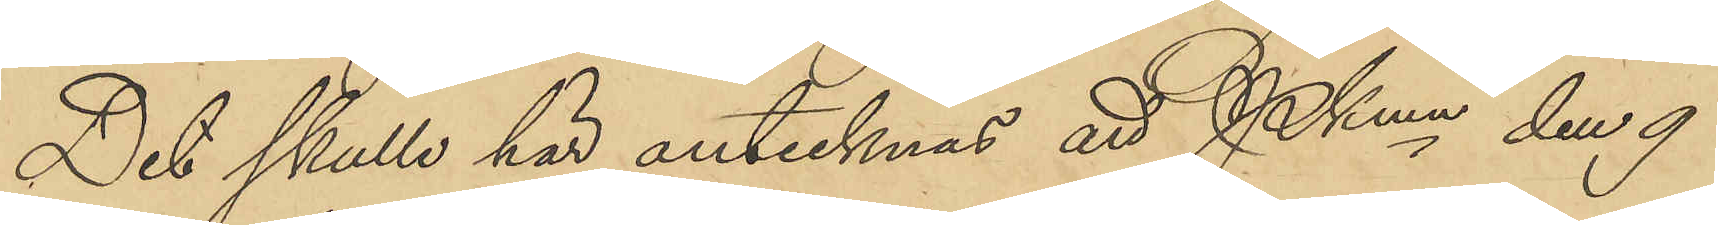Det skulle här antecknas att PKmn den 9
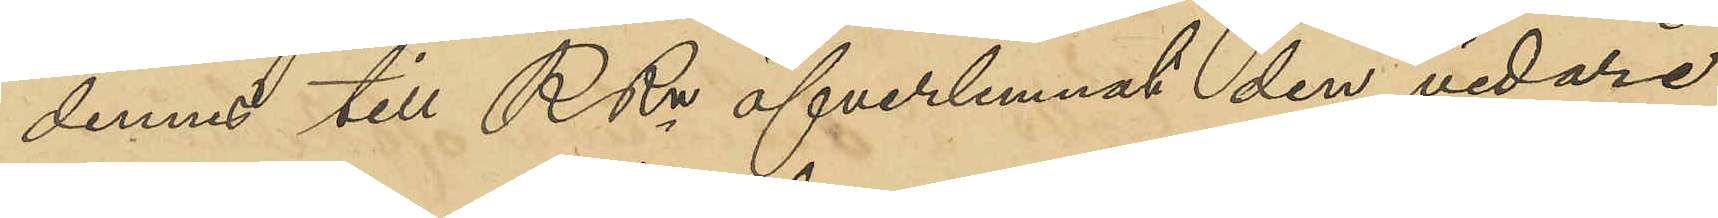dennes till RRn öfverlemnat den vidare
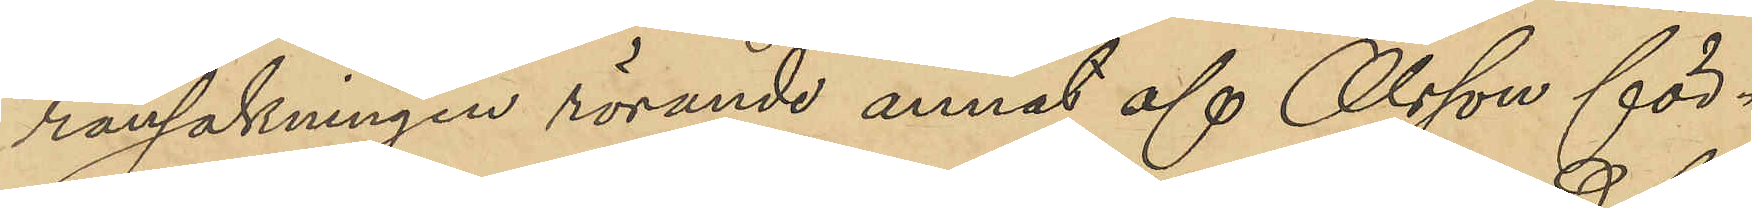ransakningen rörande annat af Olsson för¬
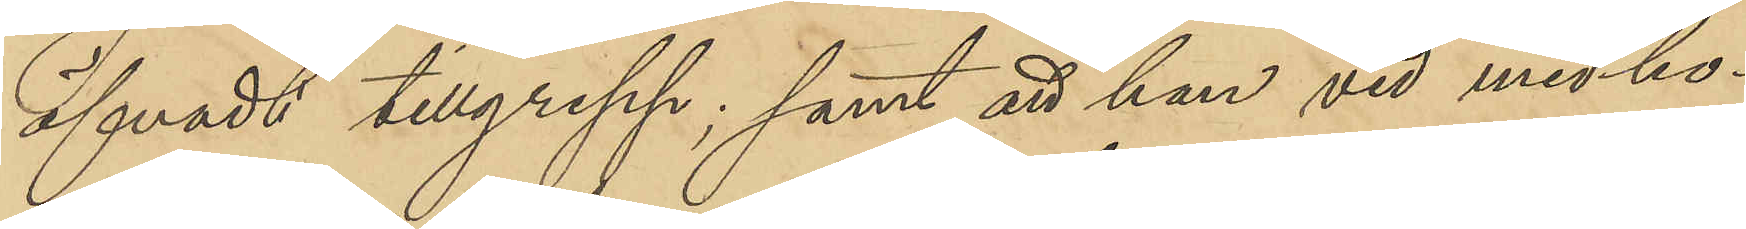öfvade tillgrepp; samt att han vid med ho¬
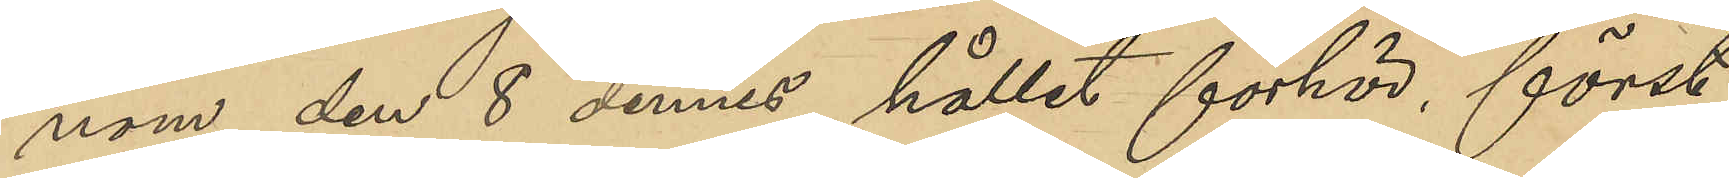nom den 8 dennes hållet förhör, först
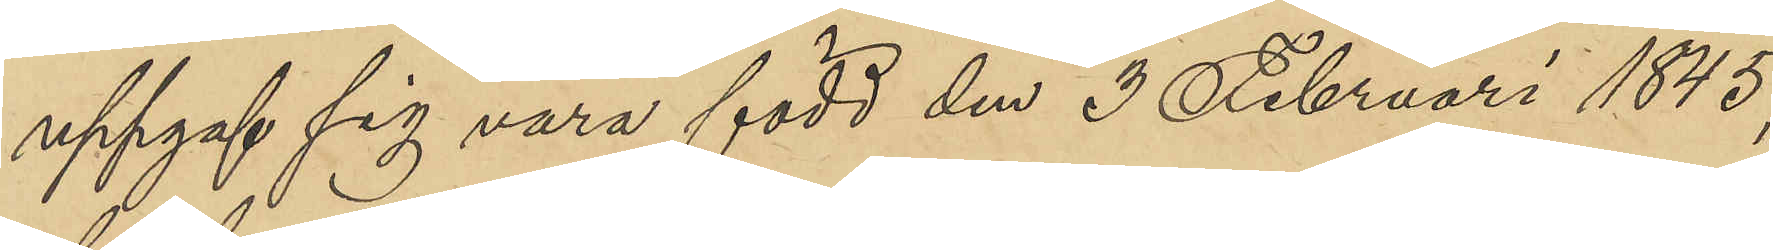uppgaf sig vara född den 3 Februari 1845, 
